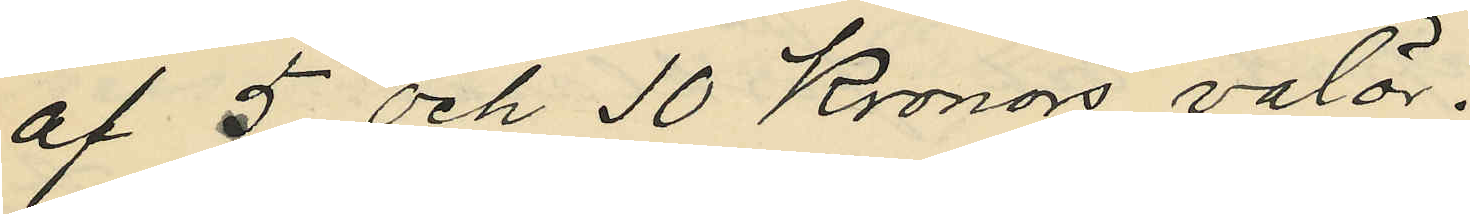af 5 och 10 Kronors valör.
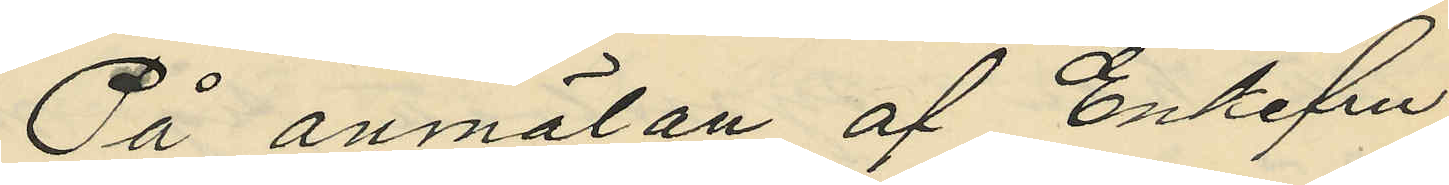På anmälan af Enkefru
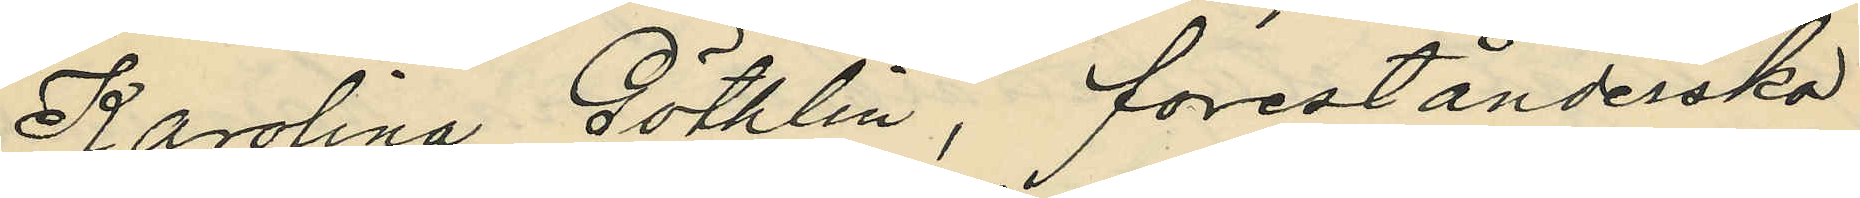Karolina Göthlin, förestånderska
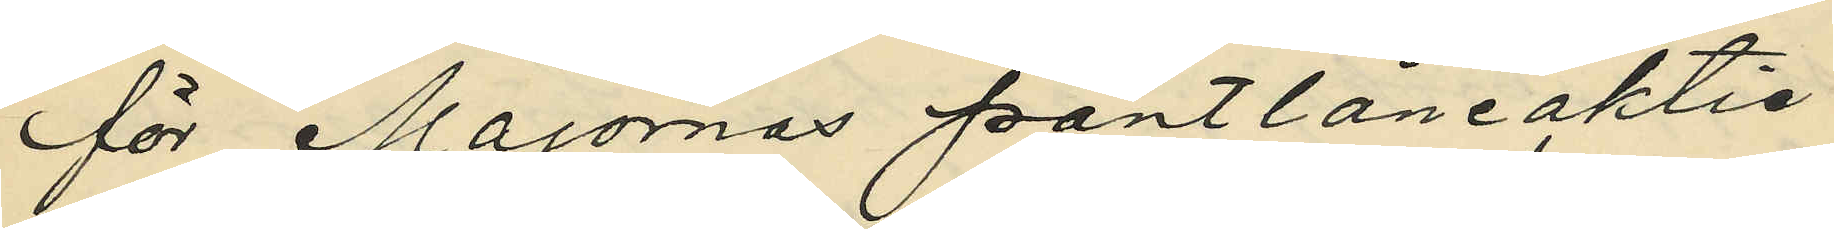för Majornas pantlåneaktie¬
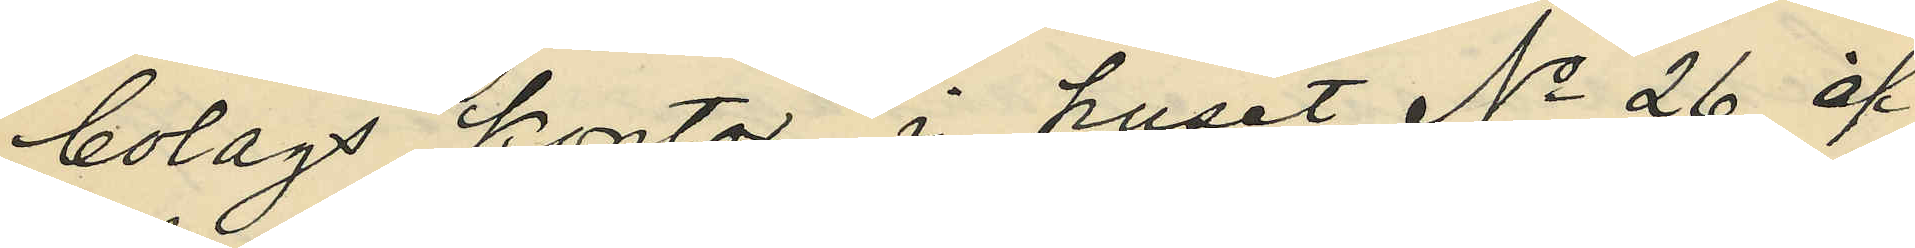bolags kontor i huset No 26 af
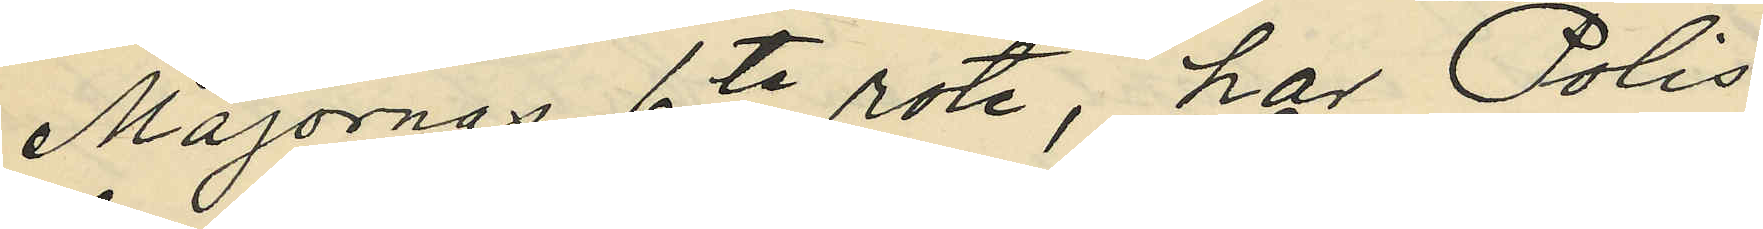Majornas 6te rote, har Polis¬
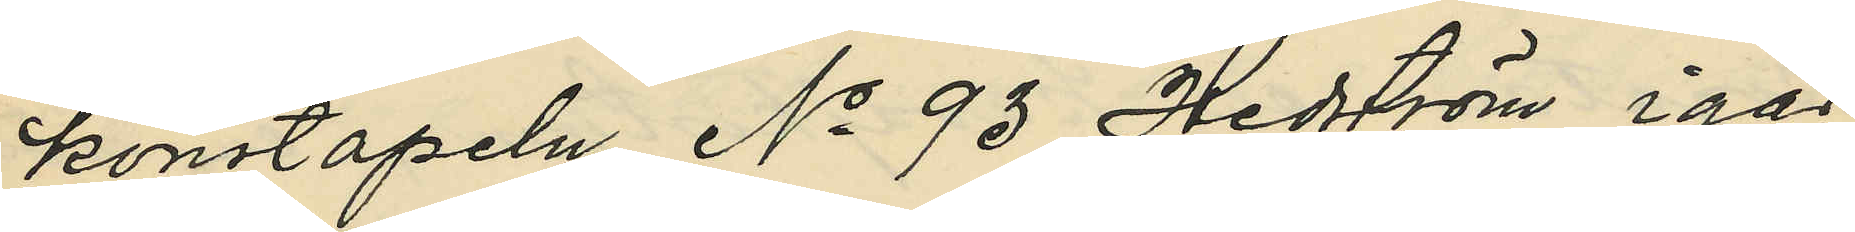konstapeln No 93 Hedström igår
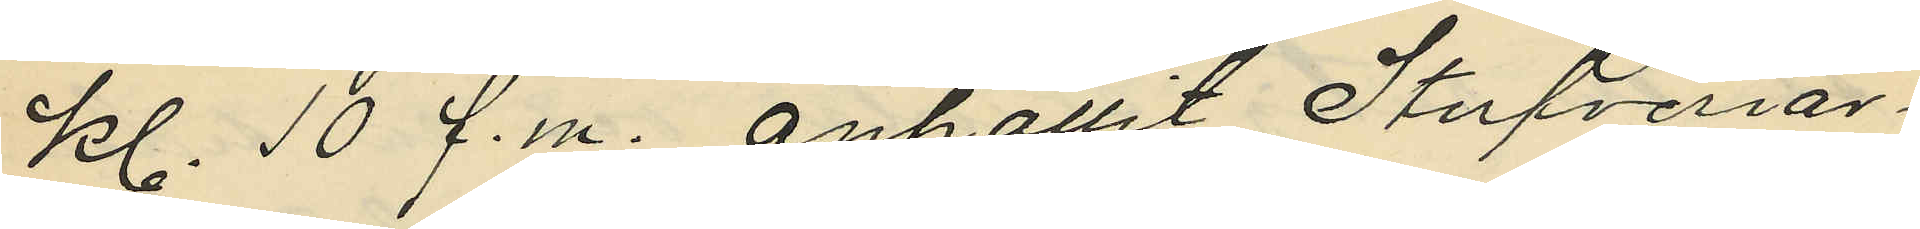Kl. 10 f.m. anhållit Stufveriar¬
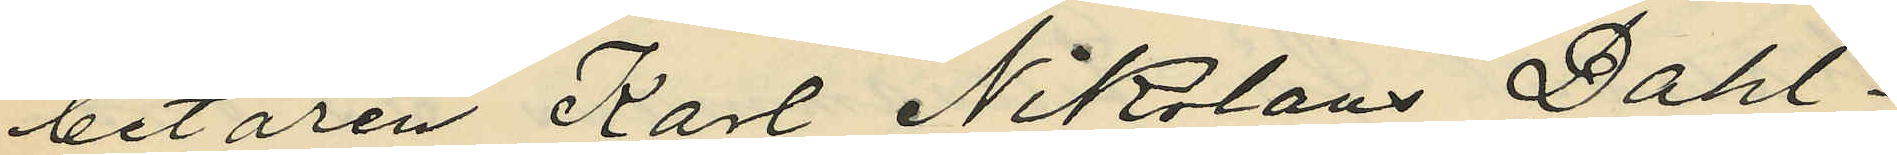betaren Karl Nikolaus Dahl¬
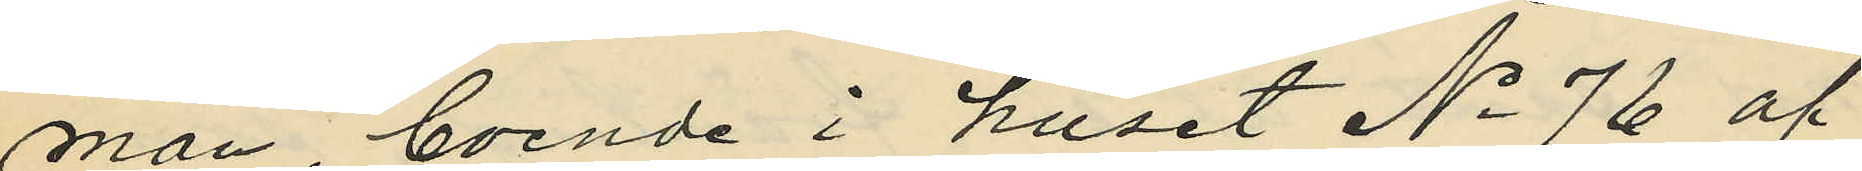man, boende i huset No 76 af
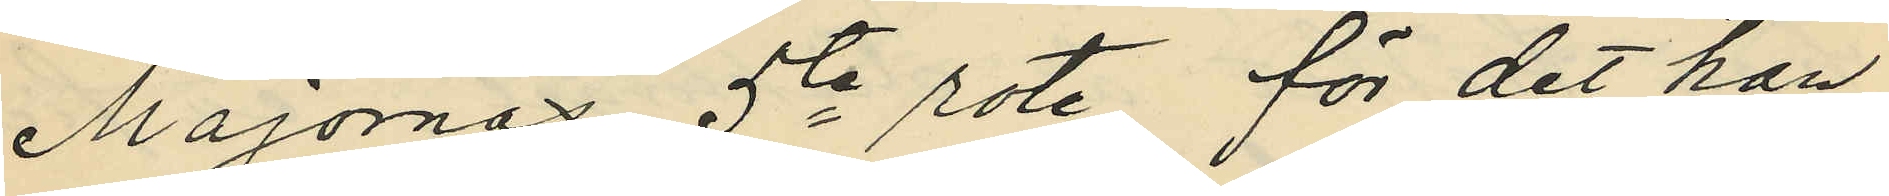Majornas 5te rote, för det han
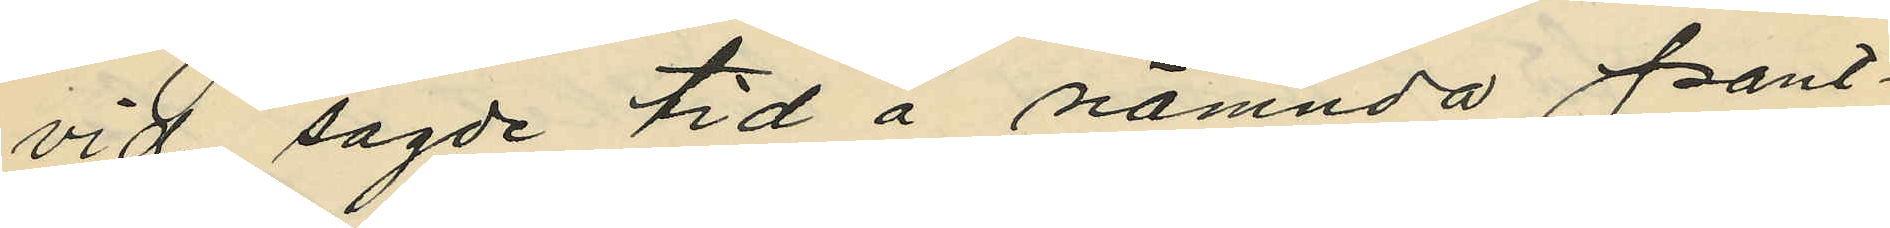vid sagde tid å nämnda pant¬
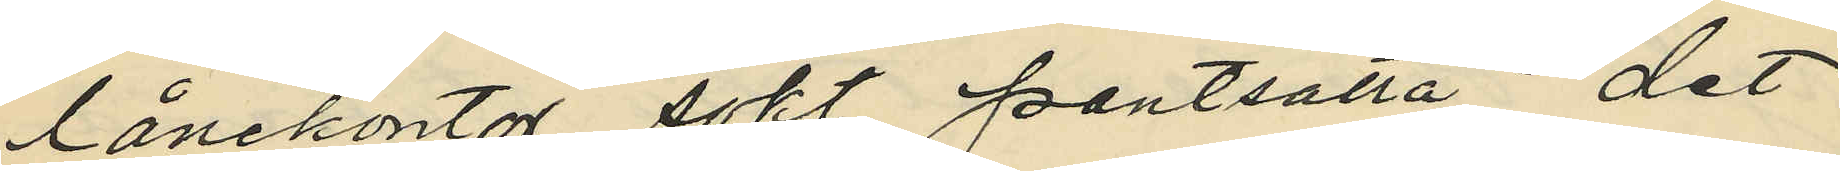lånekontor sökt pantsatta det
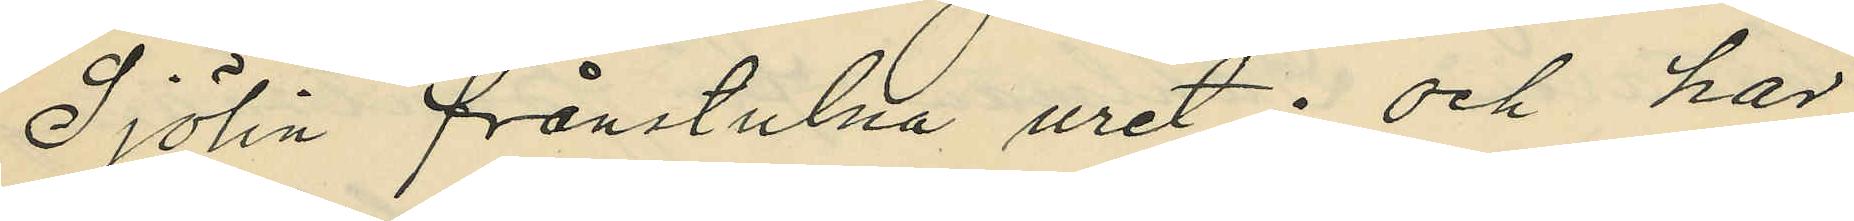Sjölin frånstulna uret; och har
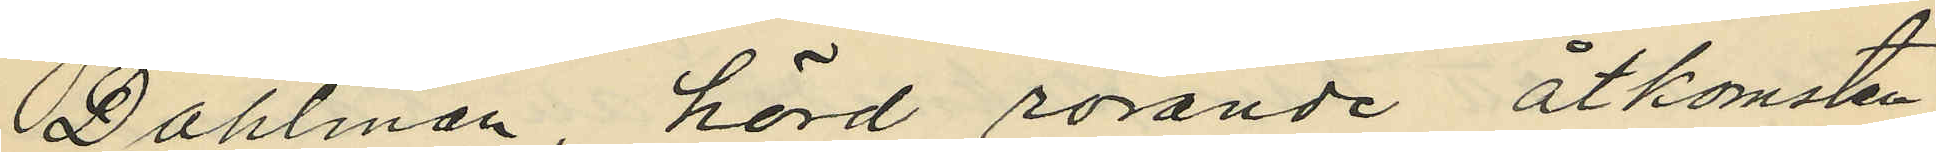Dahlman, hörd rörande åtkomsten
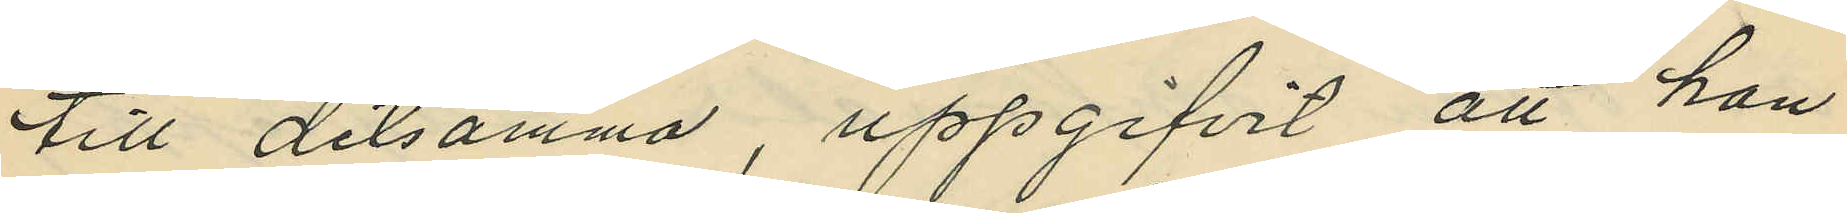till detsamma, uppgifvit att han
